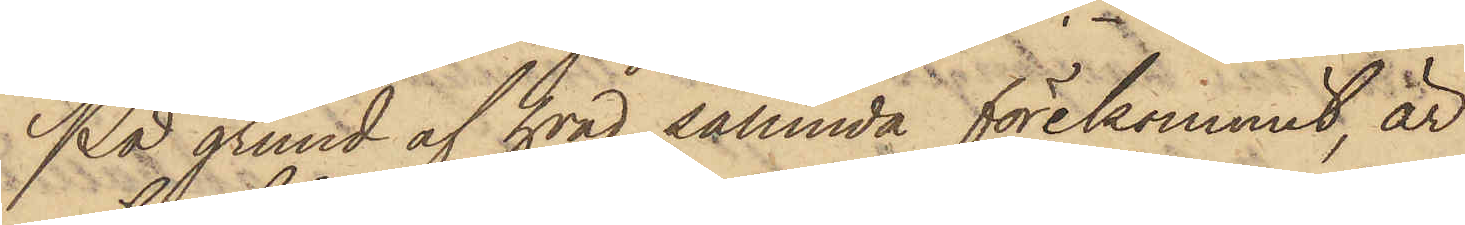På grund af hvad sålunda förekommit, är
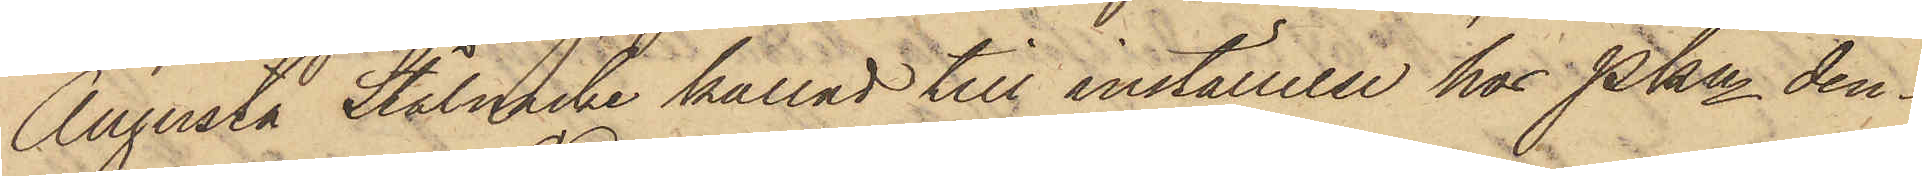Augusta Stålnacke kallad till inställelse hos PKn den¬
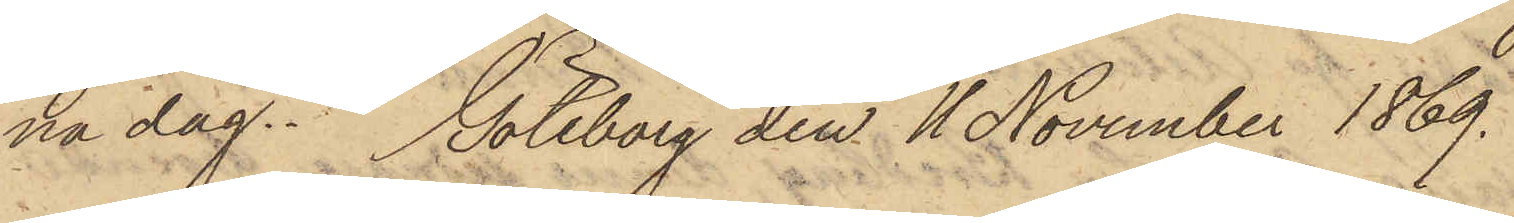na dag. Göteborg den 11 November 1869.
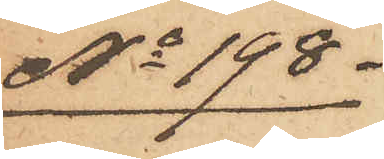No 198.
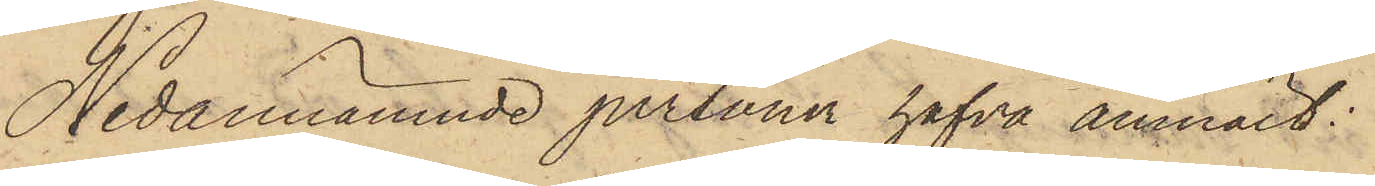Nedannämnde personer hafva anmält:
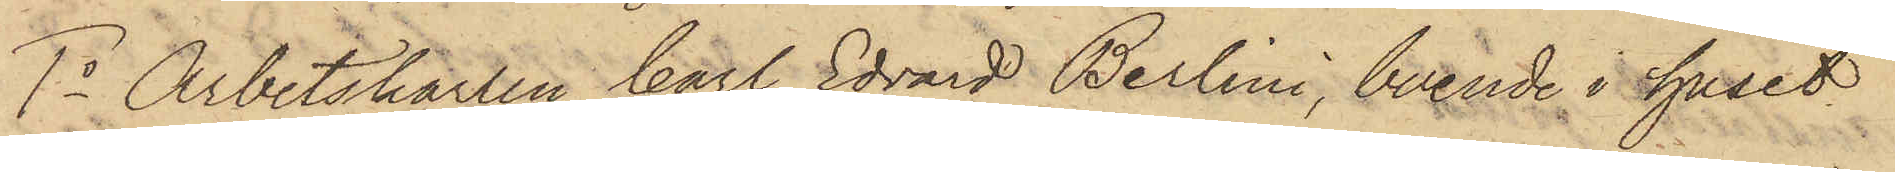1o Arbetskarlen Carl Edvard Berlini, boende i huset
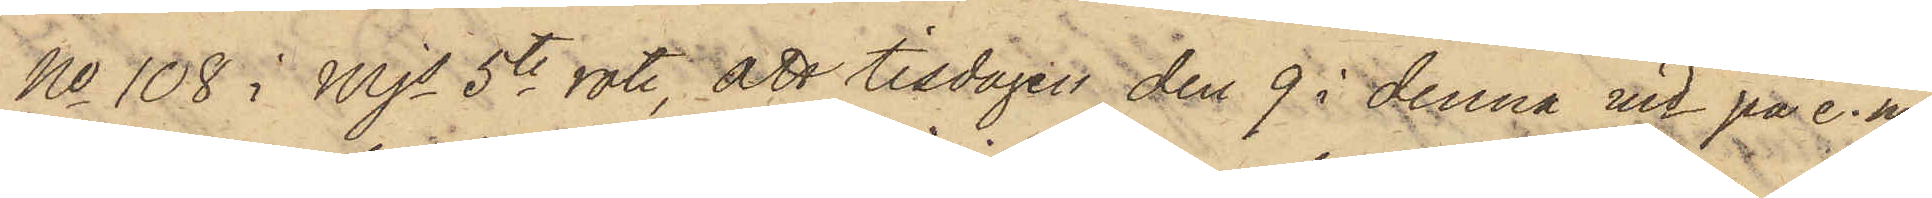No 108 i Mjs 5te rote, att tisdagen den 9 i denna md på e. m.
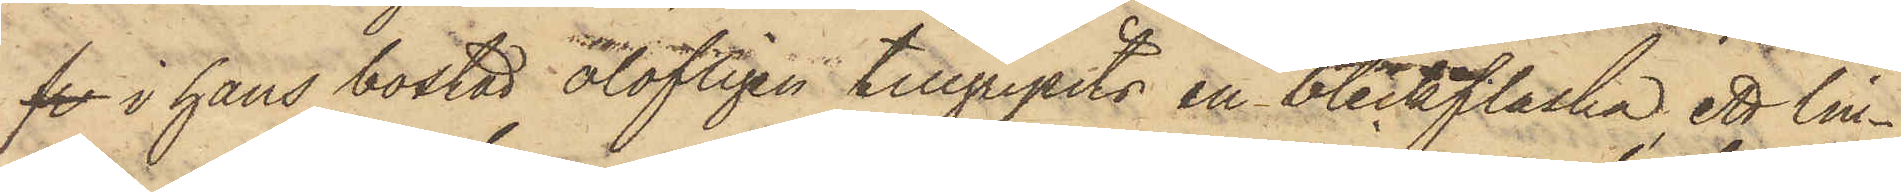fr i hans bostad olofligen tillgripits en bleckflaska, ett lin¬
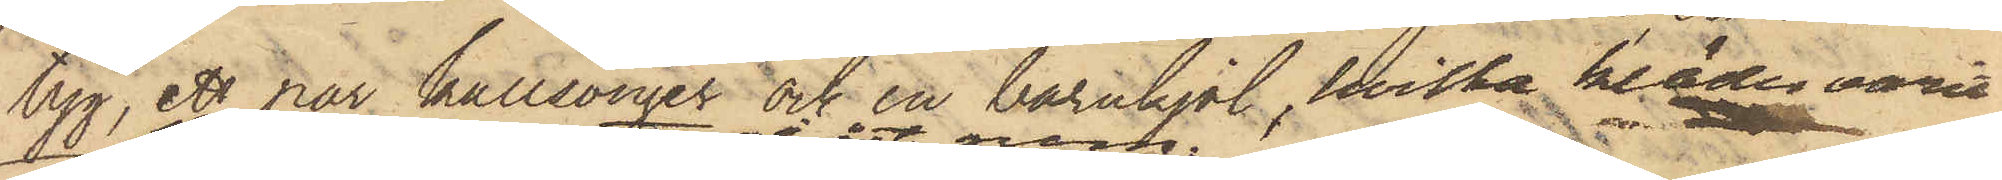tyg, ett par kallsonger och en barnkjol, hvilka kläder varit
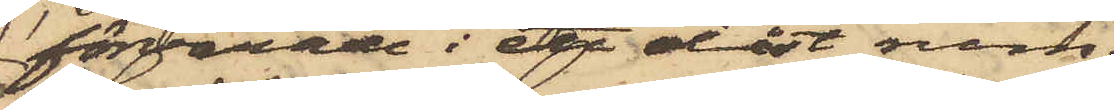förvarade i ett olåst rum.
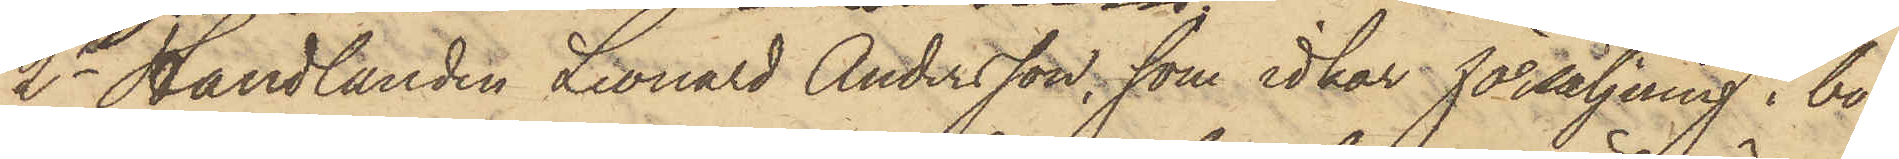2o Handlanden Leonard Andersson, som idkar försäljning i bo¬
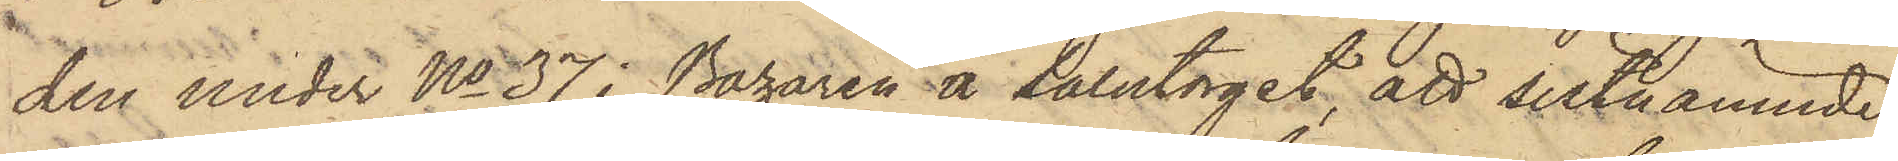den under No 37 i Bazaren å Salutorget, att sistnämnde
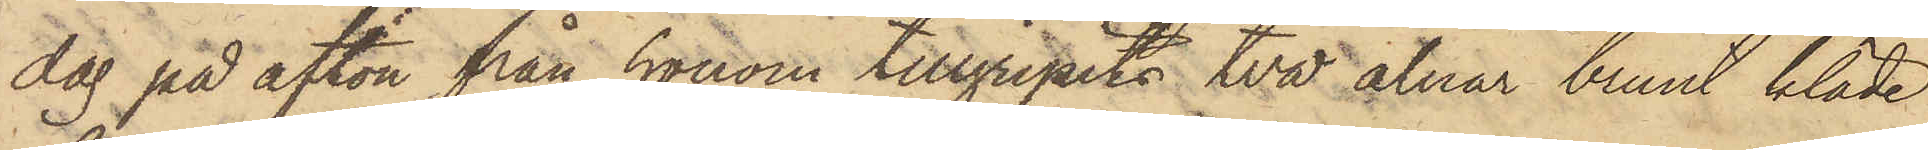dag på afton från honom tillgripits två alnar brunt kläde,
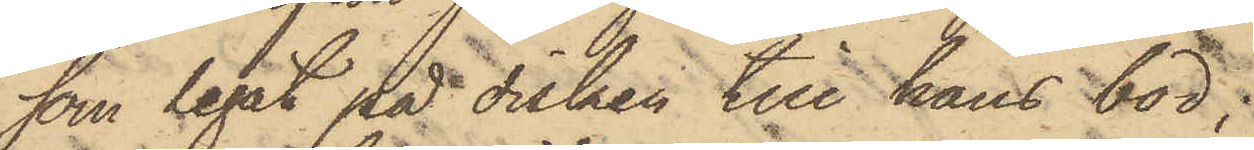som legat på disken till hans bod;
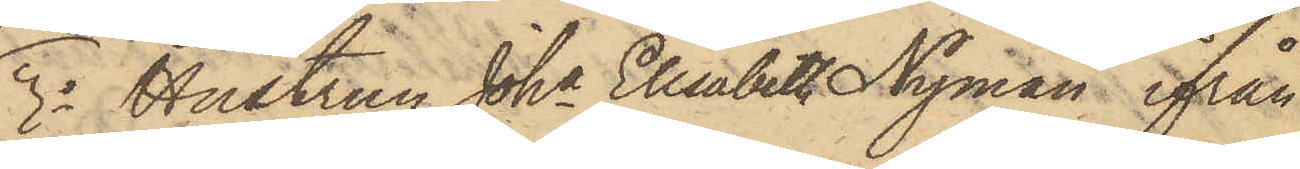3o Hustrun Joha Elisabeth Nyman ifrån
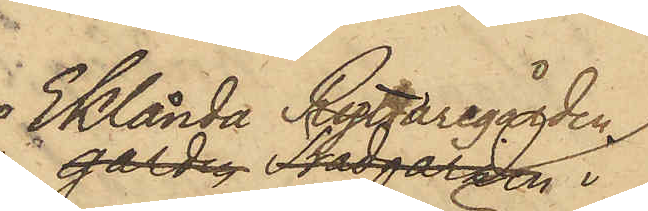Eklanda Ryttaregården
